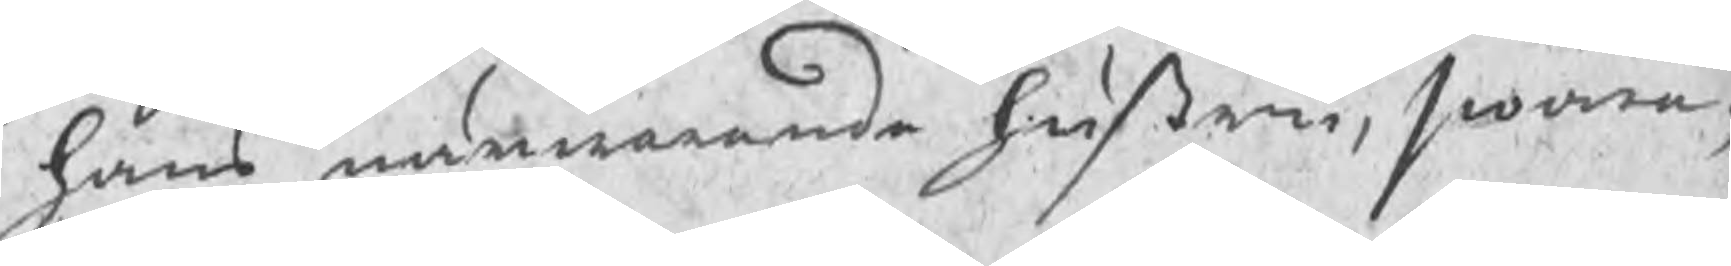hans nuwarande hustru, swara¬
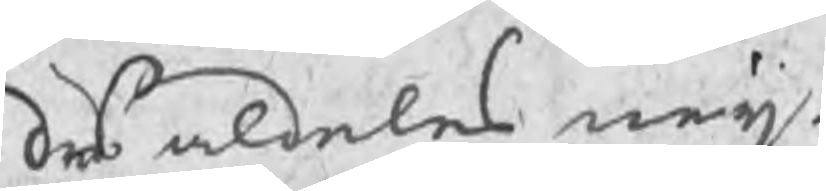des aldeles neij.
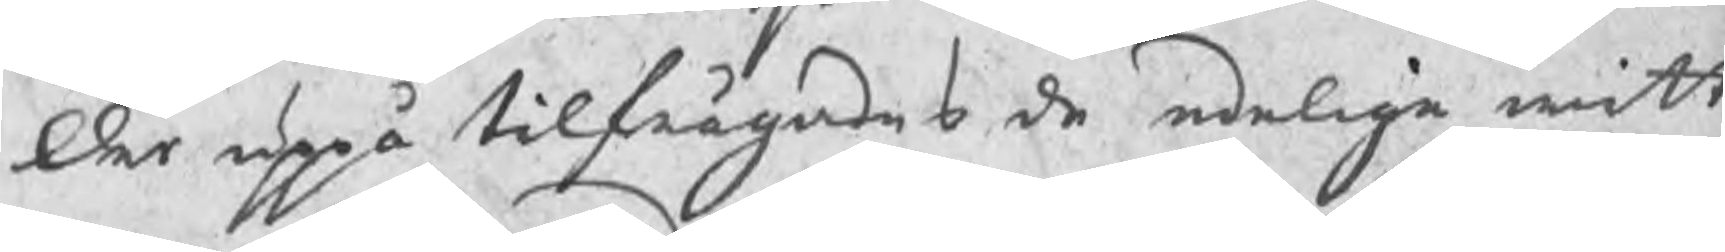Der uppå tilfrågades de edelige witt¬
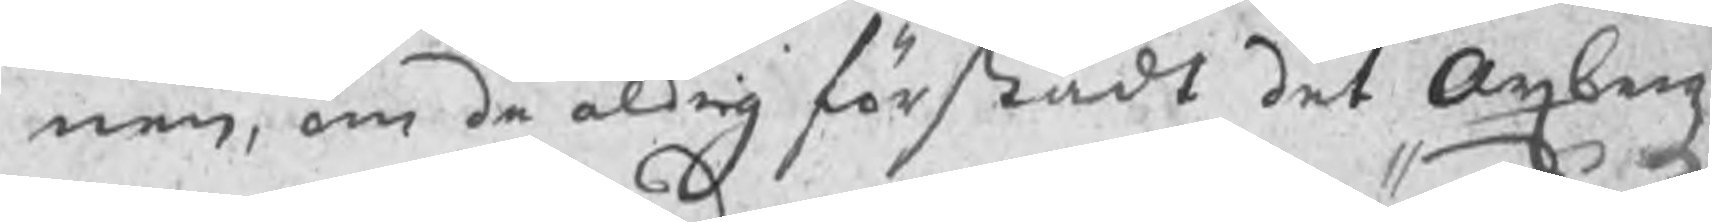nen, om de aldrig förstådt det Axbergz
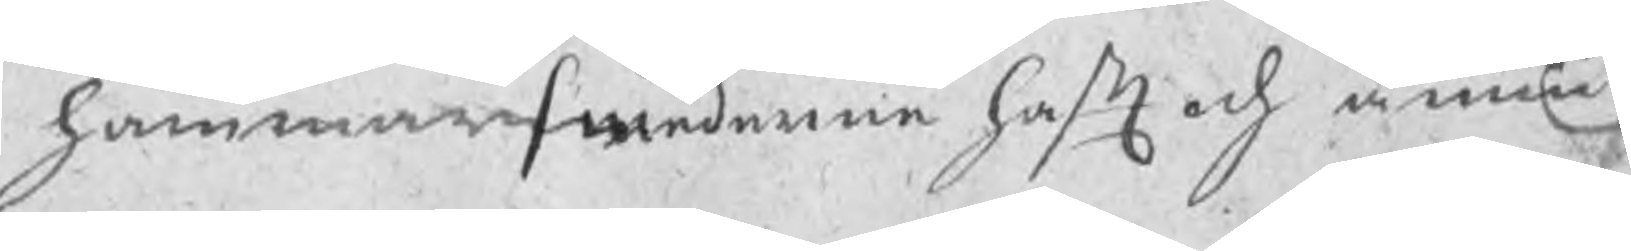hammarsmederne haft och ännu
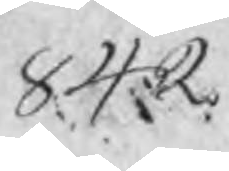842
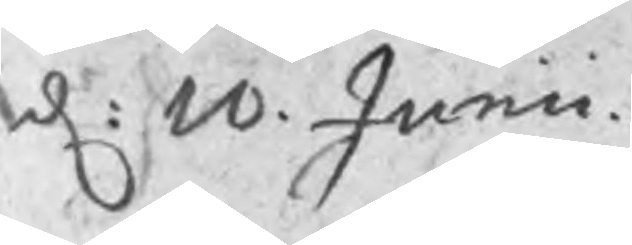d: 10 Junii
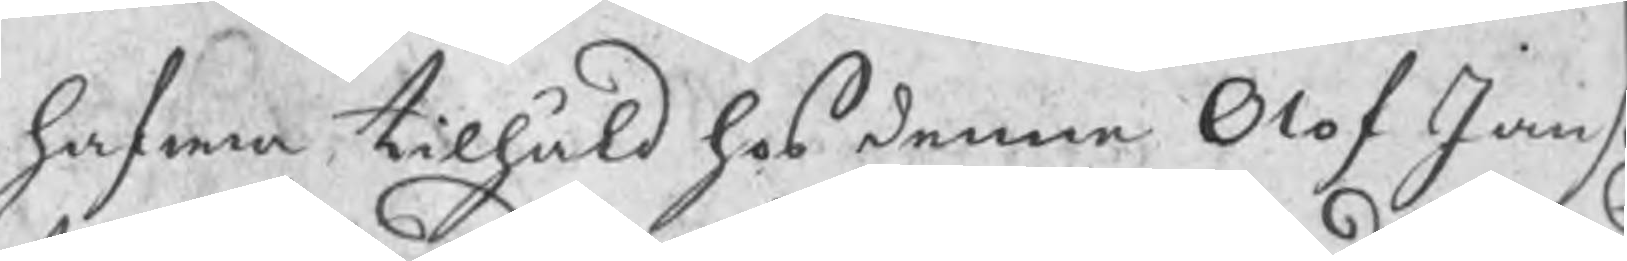hafwa tilhåld hos denne Olof Jan
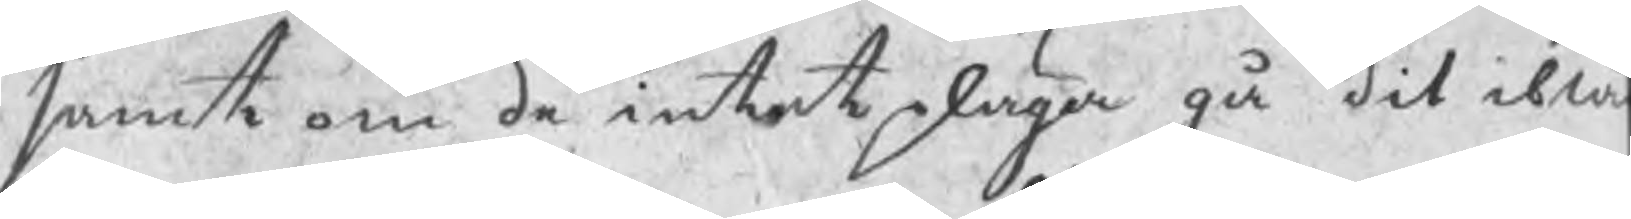samt om de intet pläga gå dit ibla
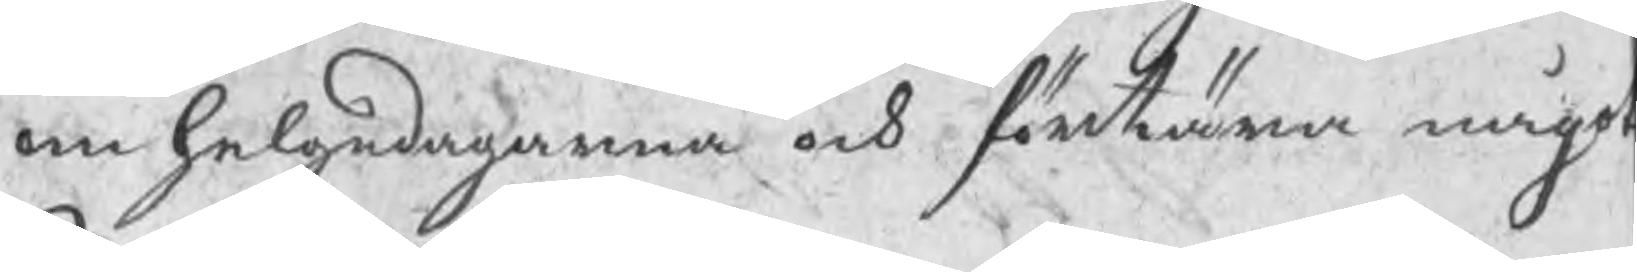om helgedagarna och förtära någo
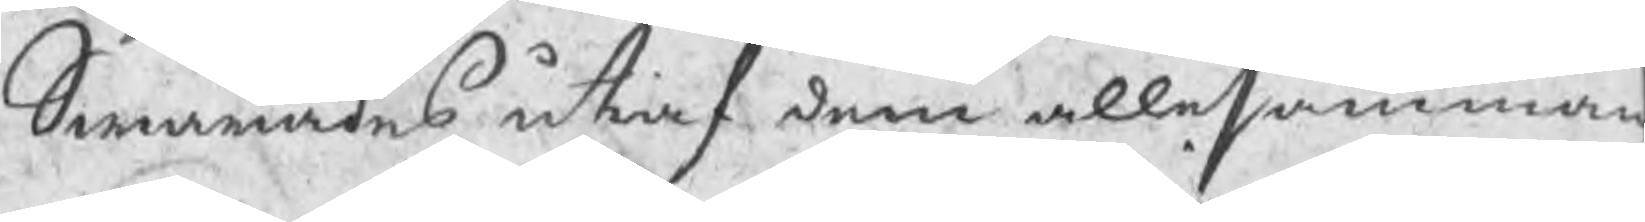Swarades utaf dem allesamman
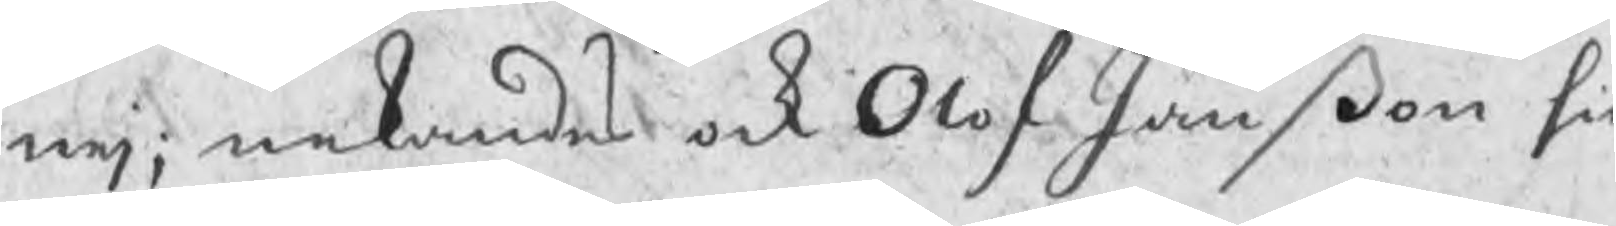nej; nekandes ock Olof Janßon sie
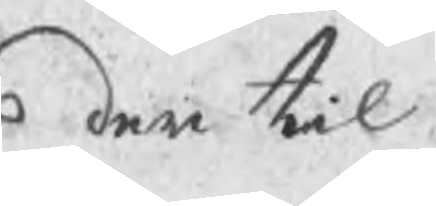der til.
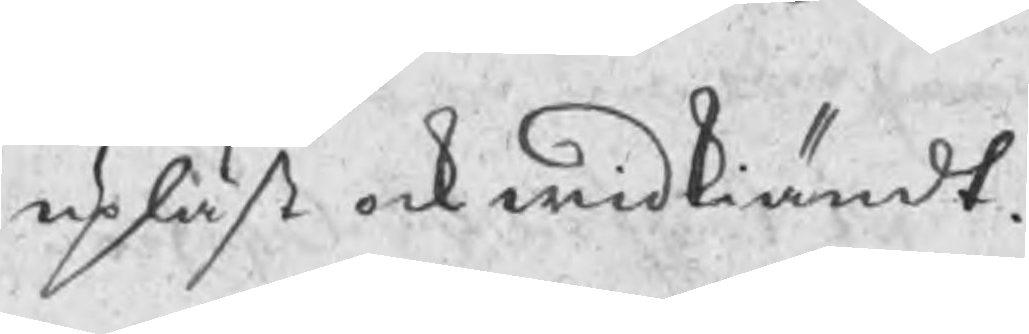upläst ock widkiändt.
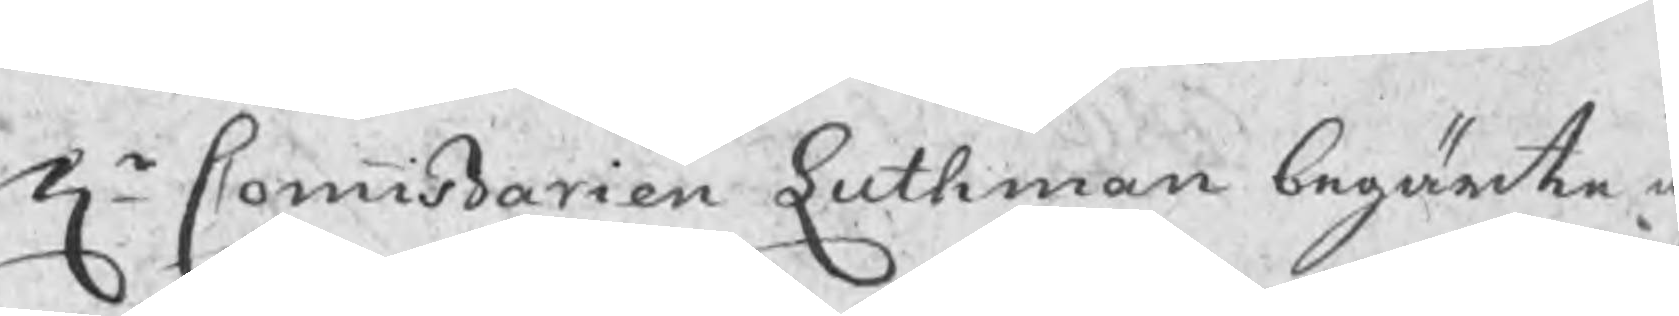Hr Commißarien Luthman begärte u
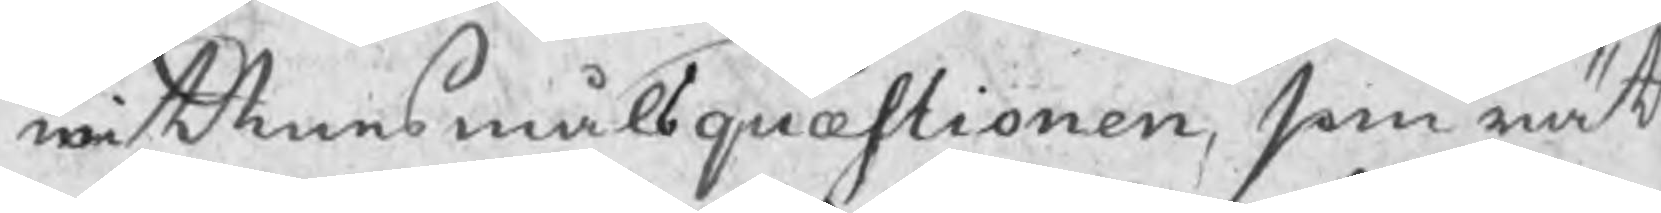wittnesmåhlsquæstionen, som rät
